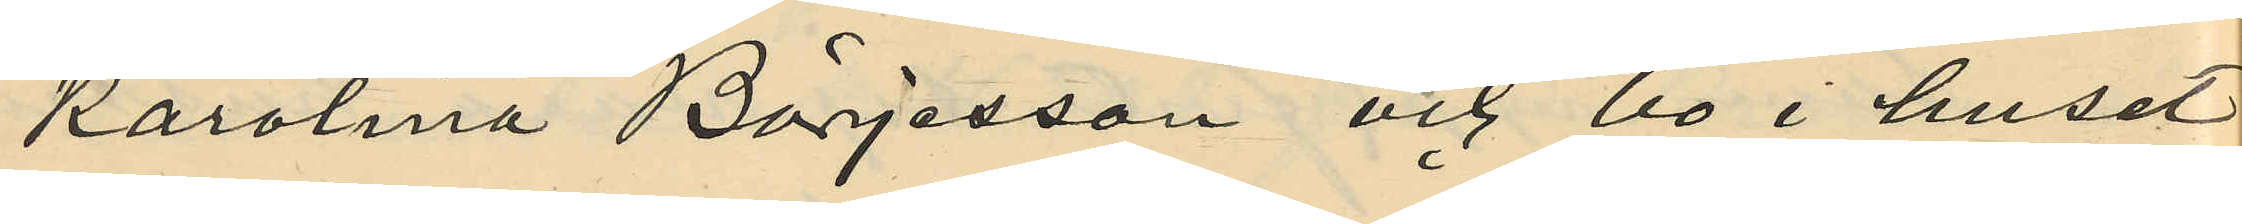Karolina Börjesson och bo i huset
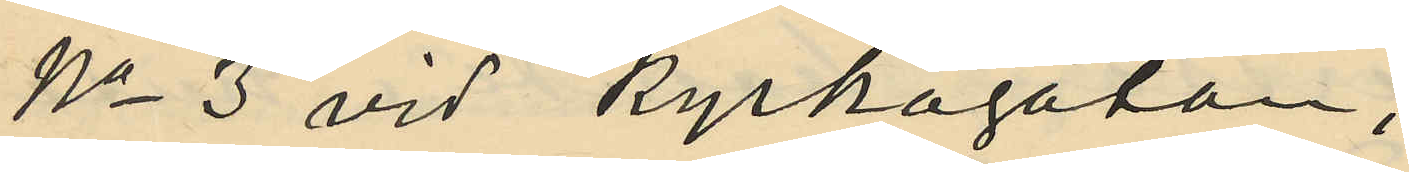No 3 vid Kyrkogatan,
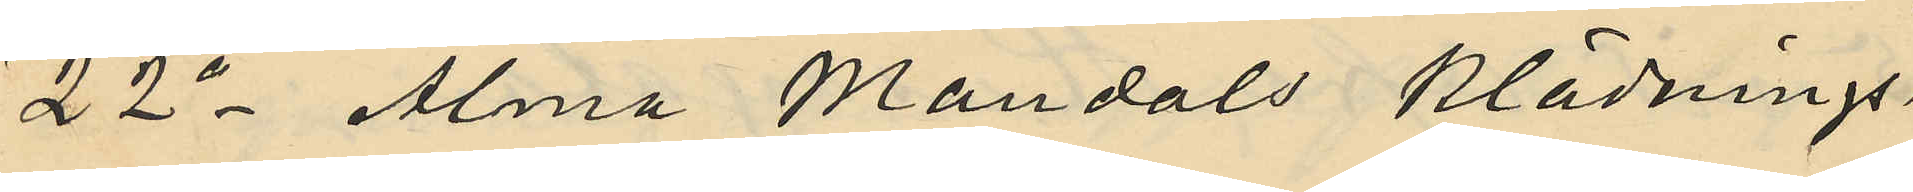22o Alma Mandals klädnings¬
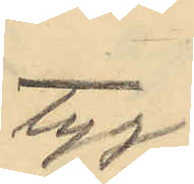tyg
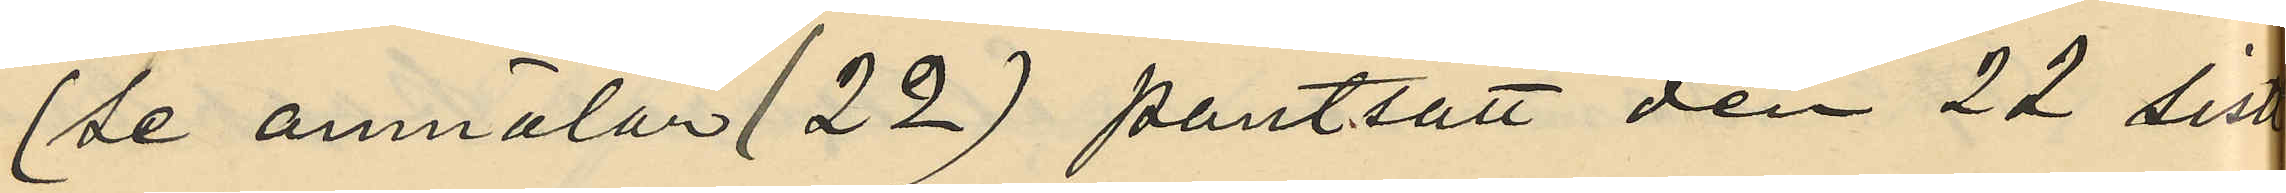(se anmälan No 22) pantsatt den 22 sist
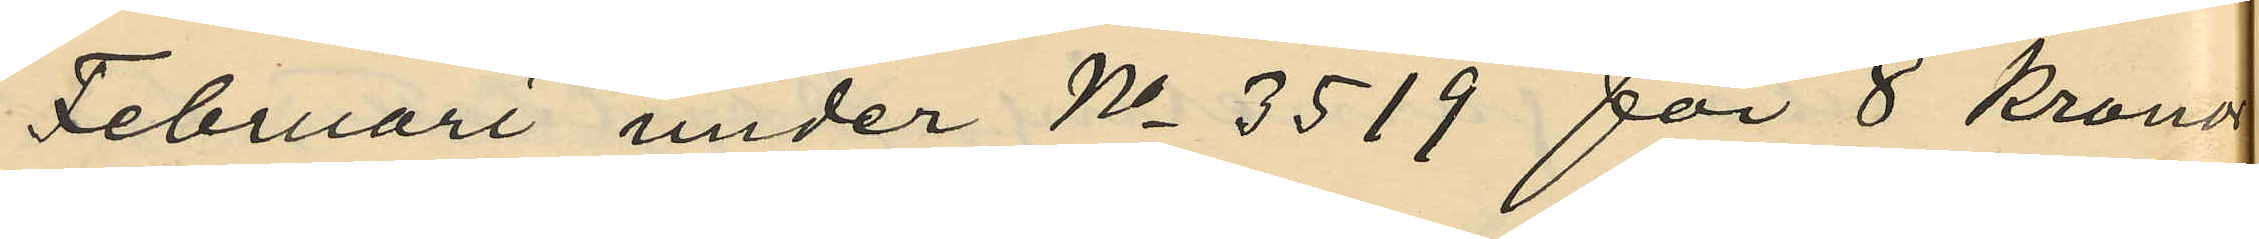Februari under No 3519 för 8 kronor
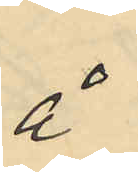å
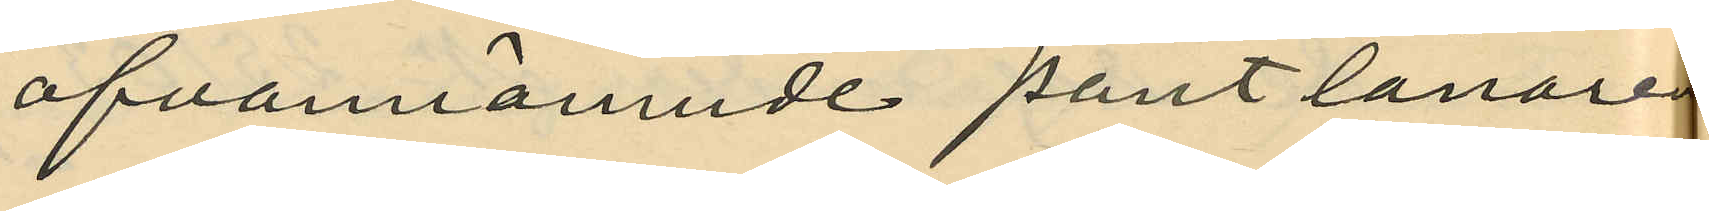ofvannämnde pantlånare
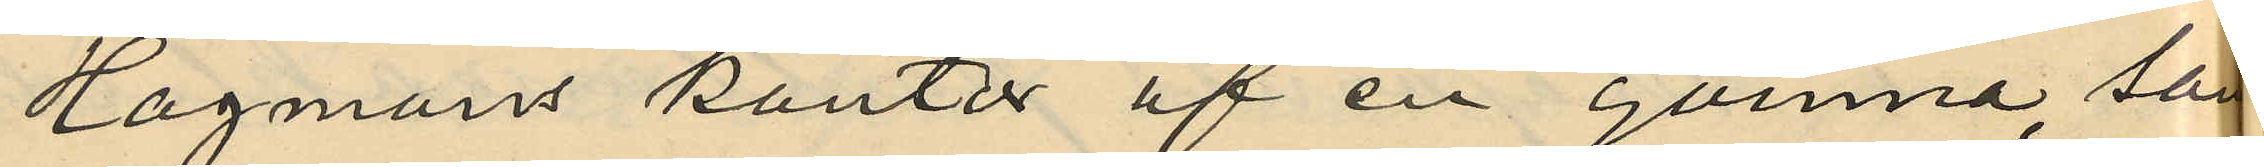Hagmans kontor af en qvinna, som
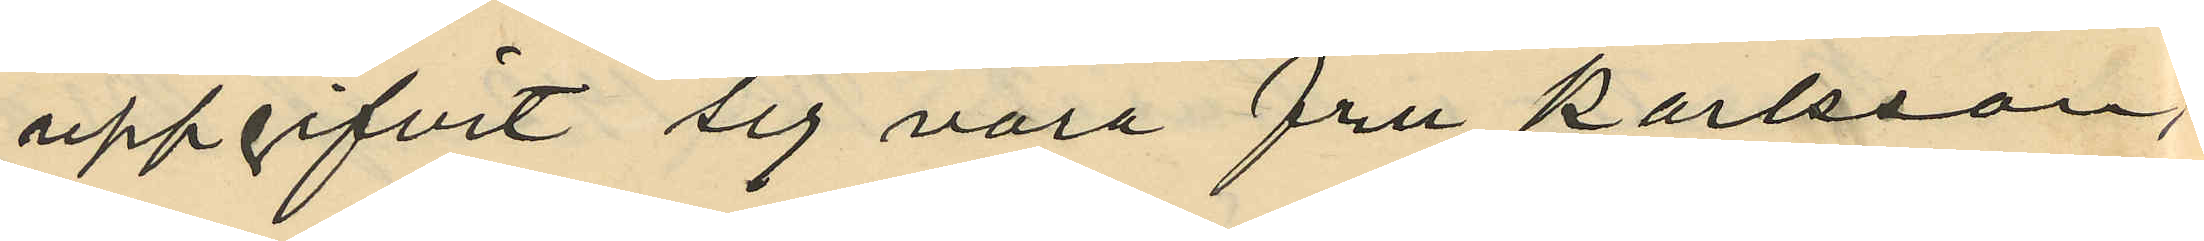uppgifvit sig vara fru Karlsson,
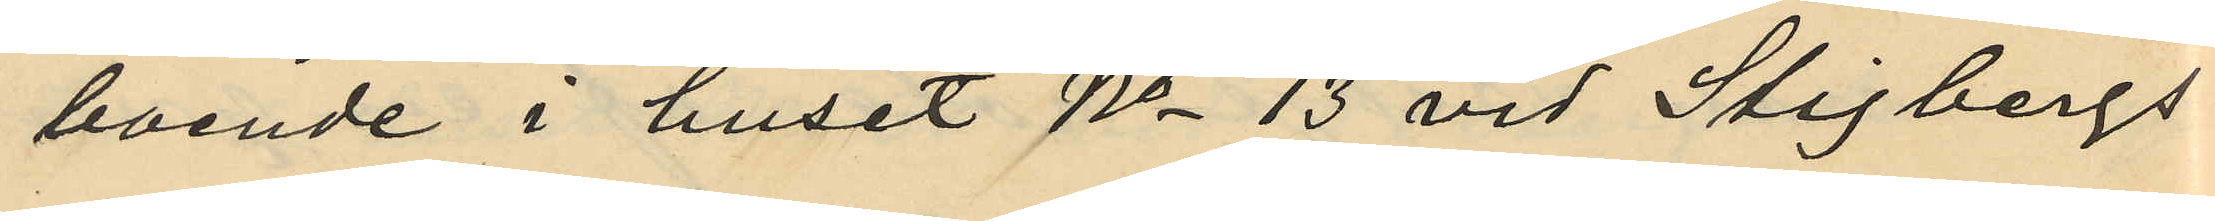boende i huset No 13 vid Stigbergs¬
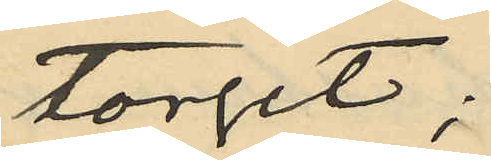torget;
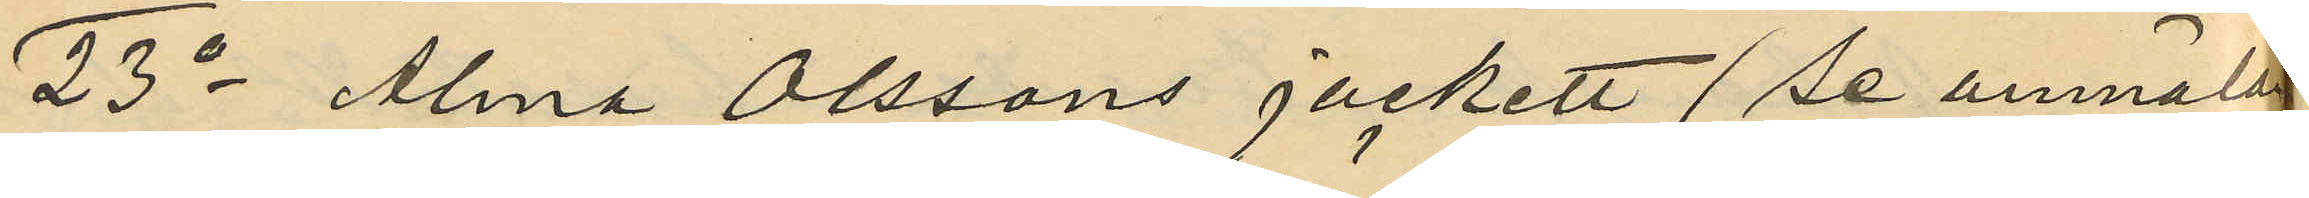25o Alma Olssons jackett (se anmälan
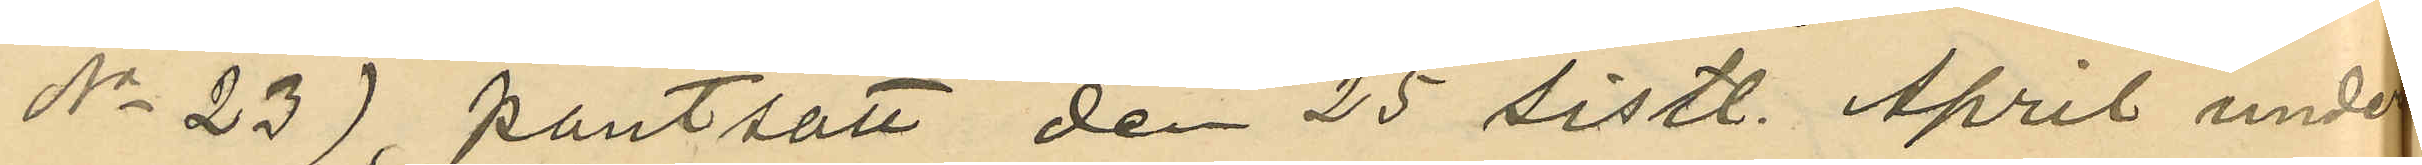No 23), pantsatt den 25 sistl. April under
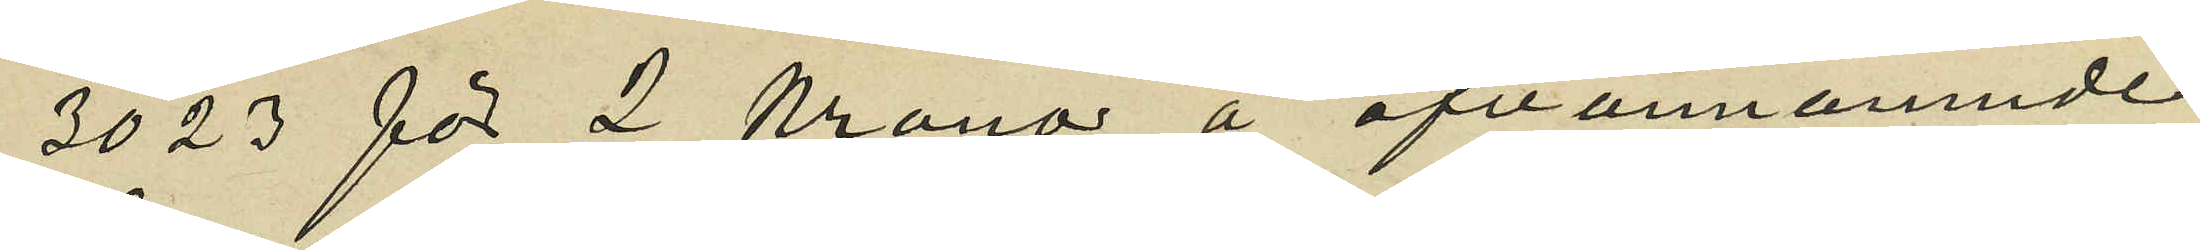3023 för 2 Kronor å ofvannämnde
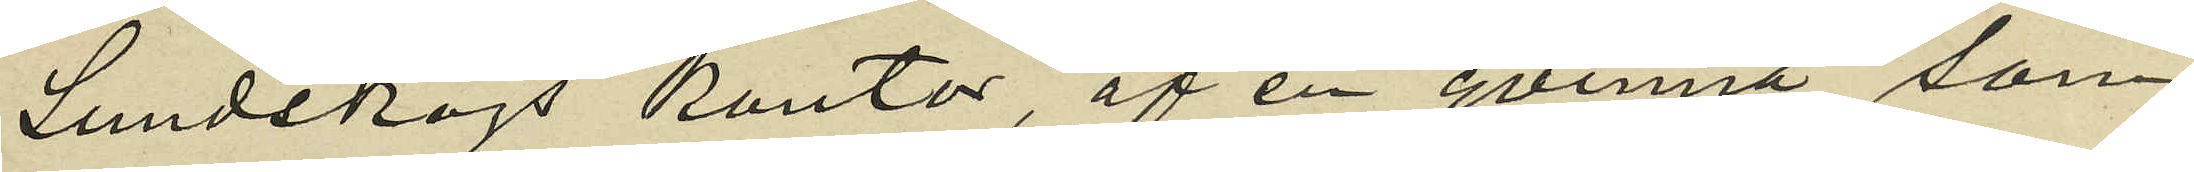Lundskogs kontor af en qvinna som
